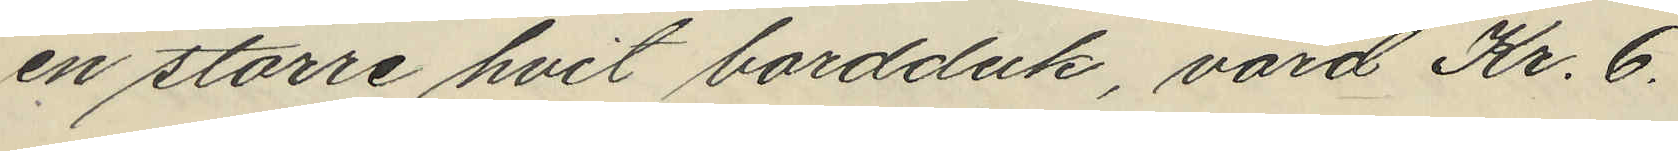en större hvit bordduk, värd Kr. 6.
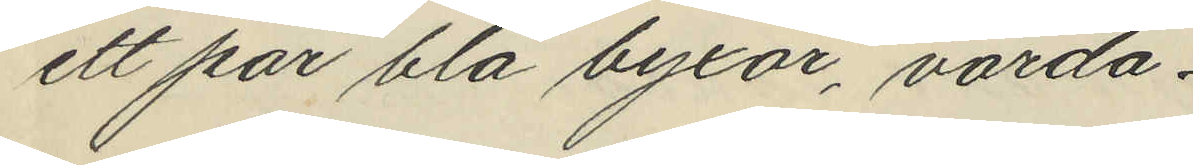ett par blå byxor, värda
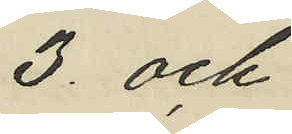3. och
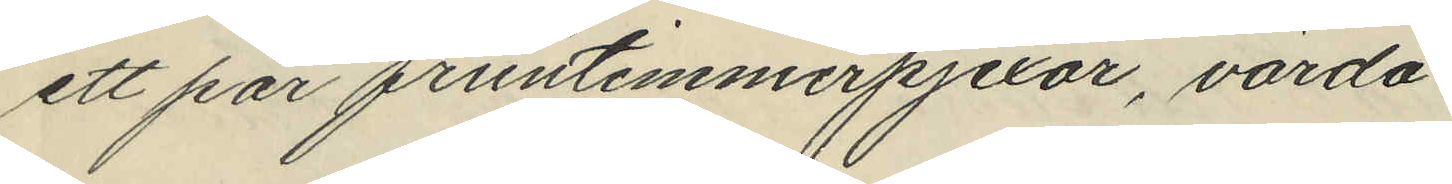ett par fruntimmerpjexor, värda
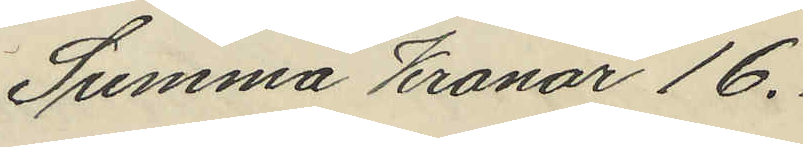Summa Kronor 16.
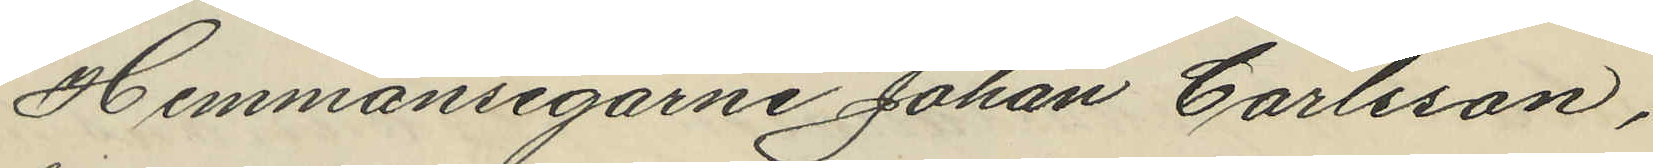Hemmansegarne Johan Carlsson,
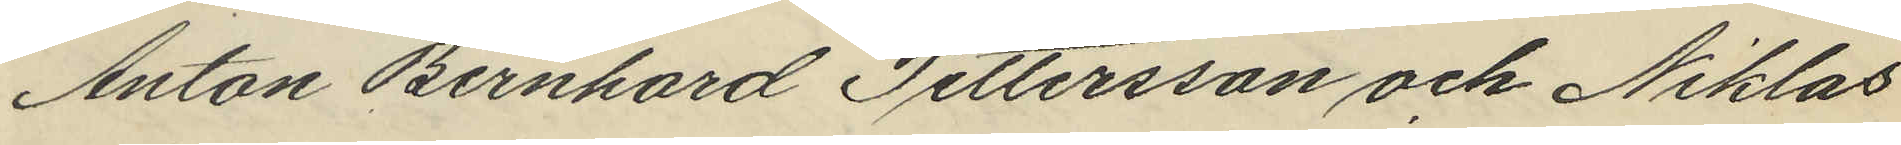Anton Bernhard Pettersson och Niklas
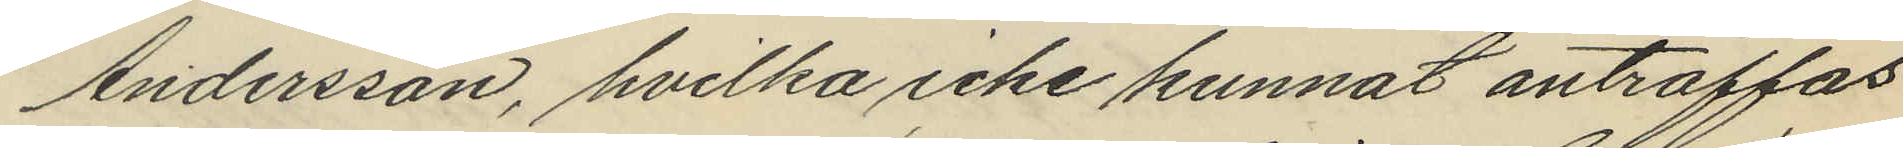Andersson, hvilka icke kunnat anträffas
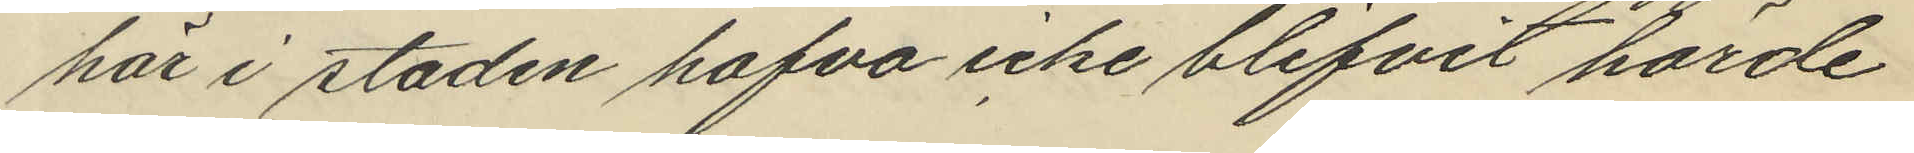här i staden hafva icke blifvit hörde
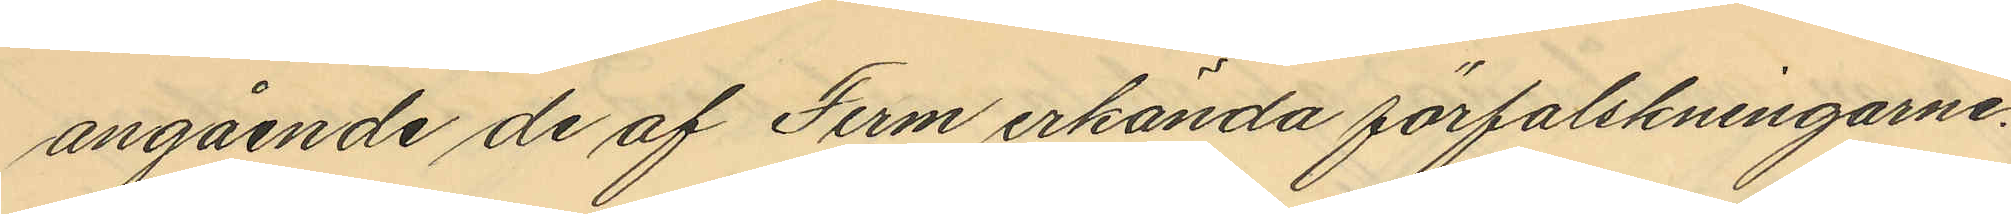angående de af Ferm erkända förfalskningarne.
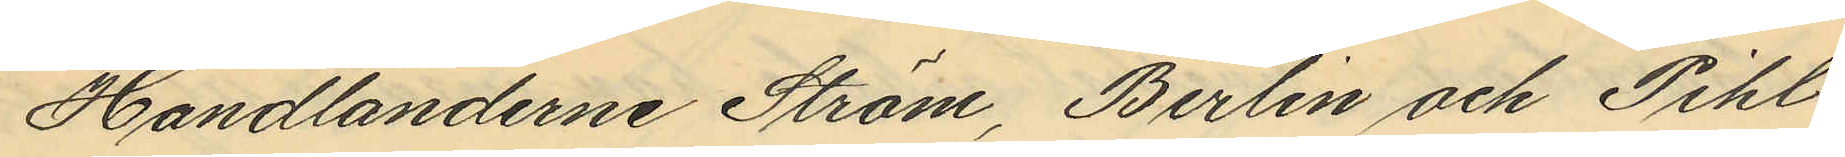Handlanderne Ström, Berlin och Pihl
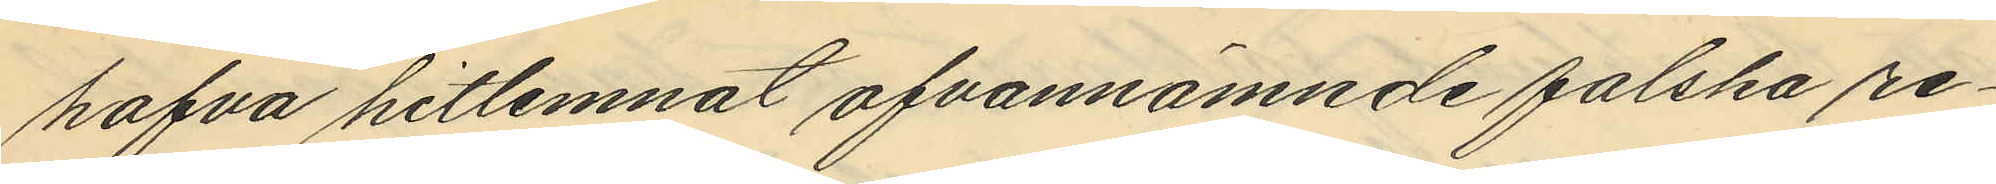hafva hitlemnat ofvannämnde falska re¬
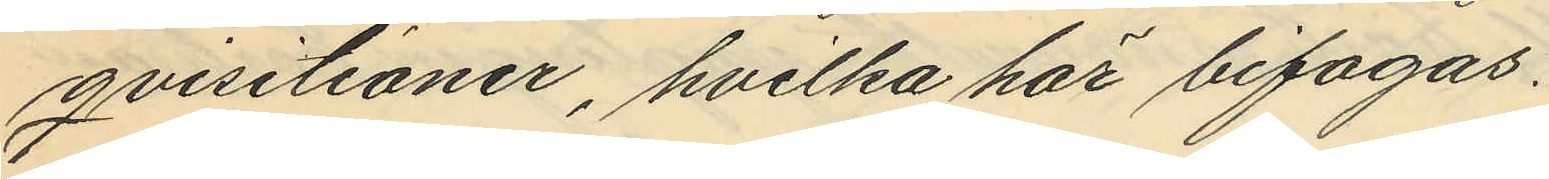qvisitioner, hvilka här bifogas.
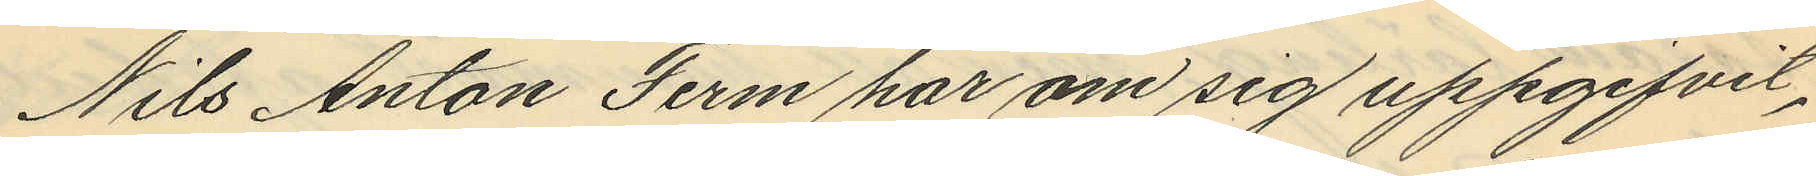Nils Anton Ferm har om sig uppgifvit,
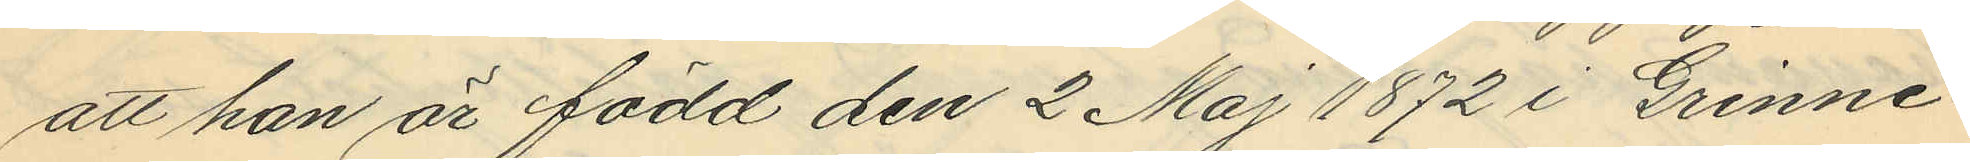att han är född den 2 Maj 1872 i Grinne¬
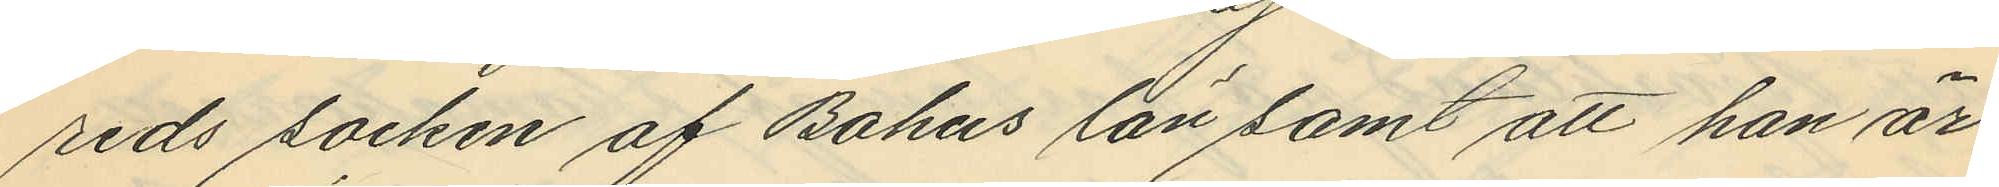reds socken af Bohus län samt att han är
